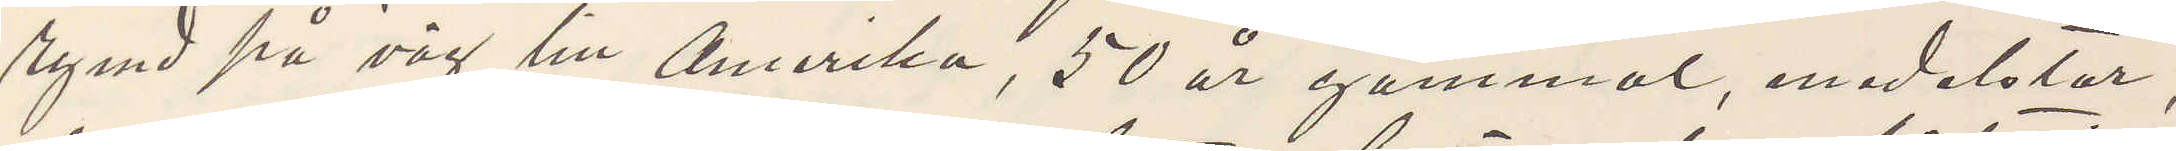rymd på väg till Amerika, 50 år gammal, medelstor,
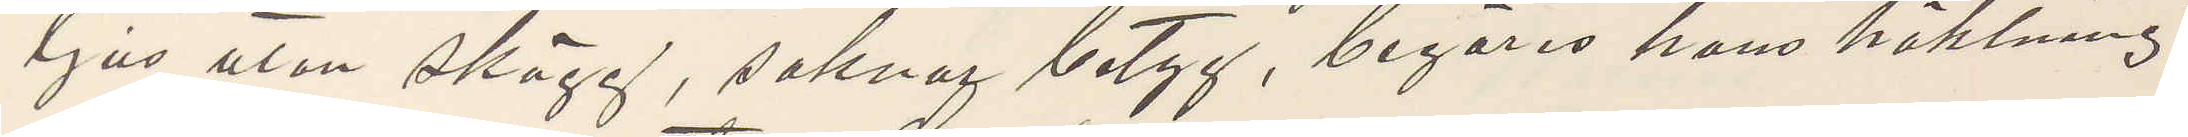ljus utan skägg, saknar betyg, begäras hans häktning
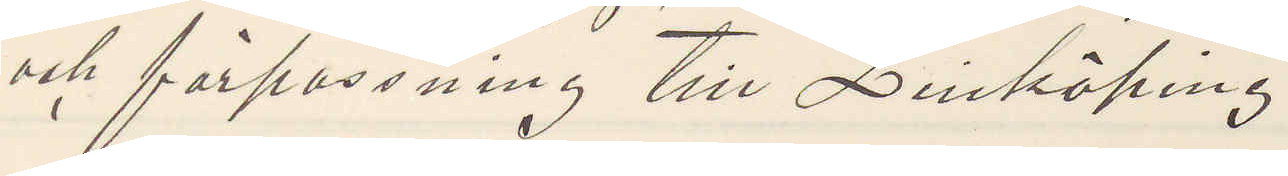och förpassning till Linköping.
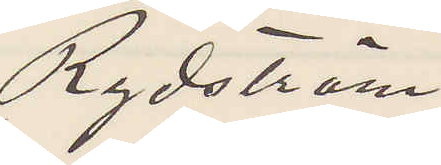Rydström.
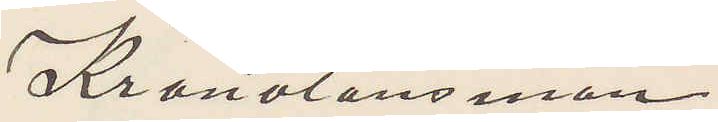Kronolänsman
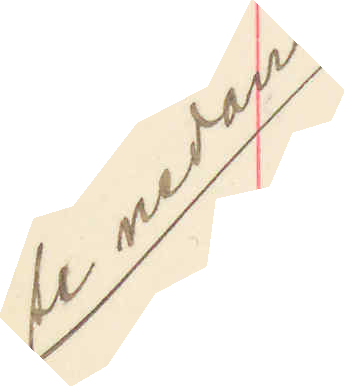Se nedan
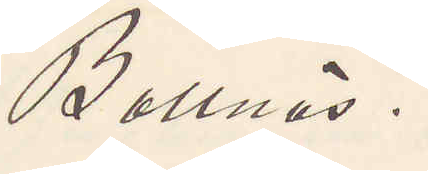Bollnäs.
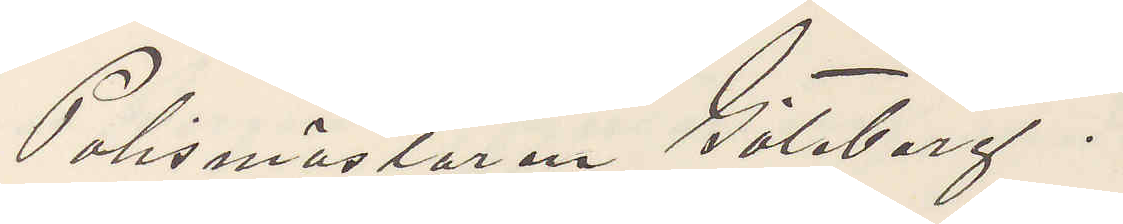Polismästaren Göteborg.
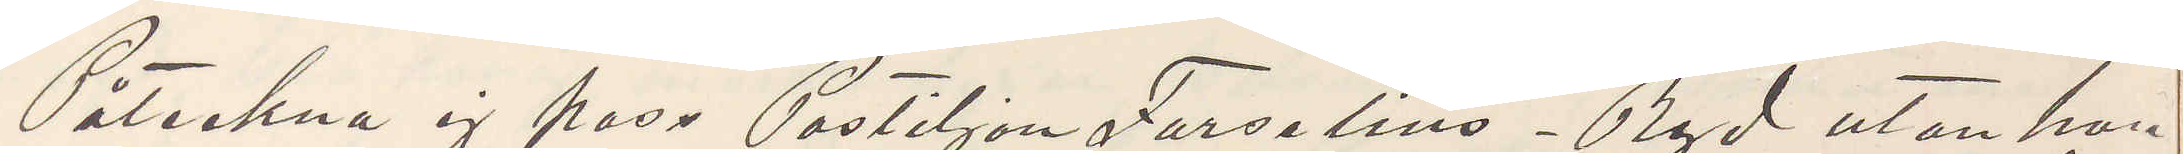Påteckna ej pass Postiljon Forselius - Ryd utan han
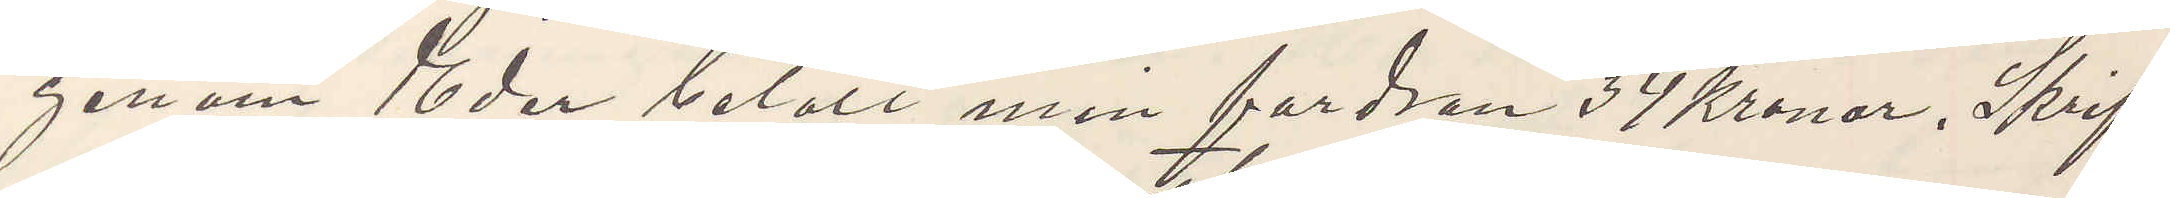genom Eder betalt min fordran 34 Kronor. Skrif¬
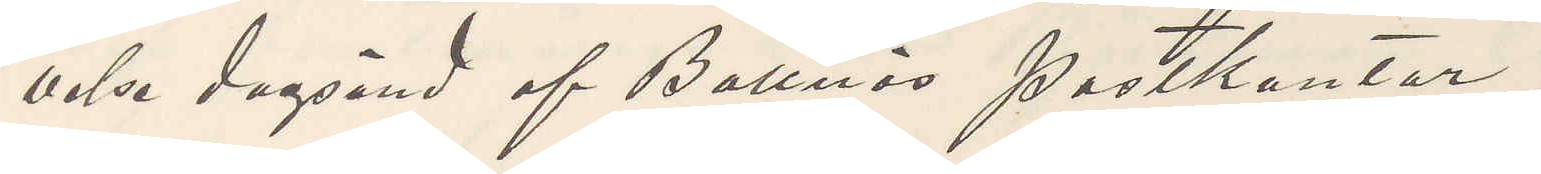velse dagsänd af Bollnäs postkontor.
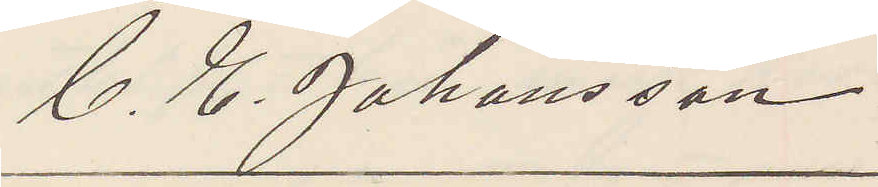C. E. Johansson.
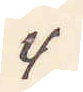4
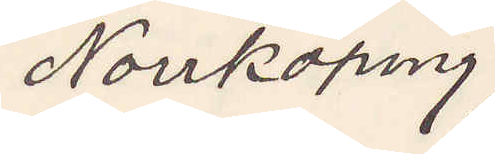Norrköping.
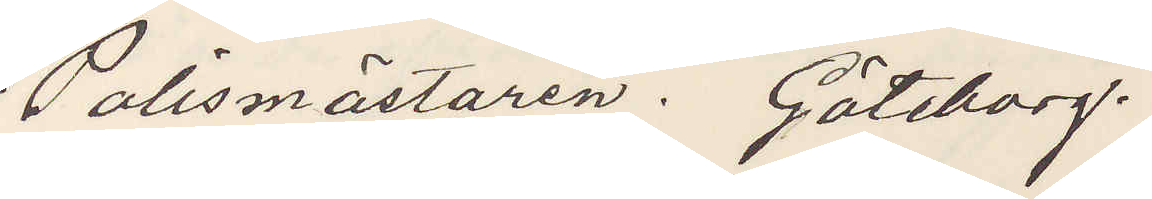Polismästaren. Göteborg.
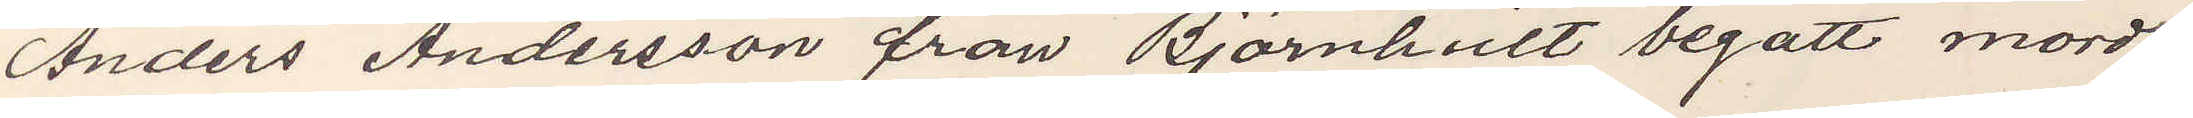Anders Andersson från Björnhult begått mord,
